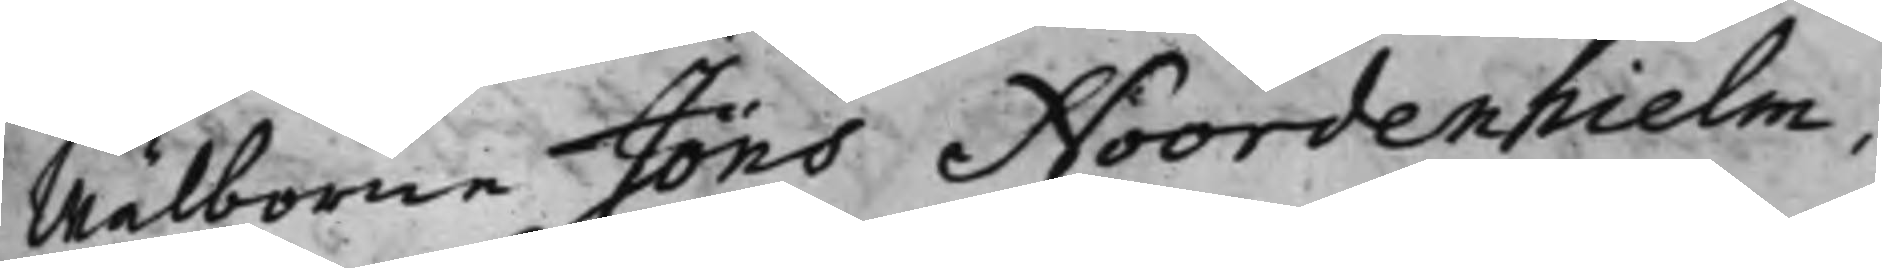Wälborne Jöns Noordenhielm,
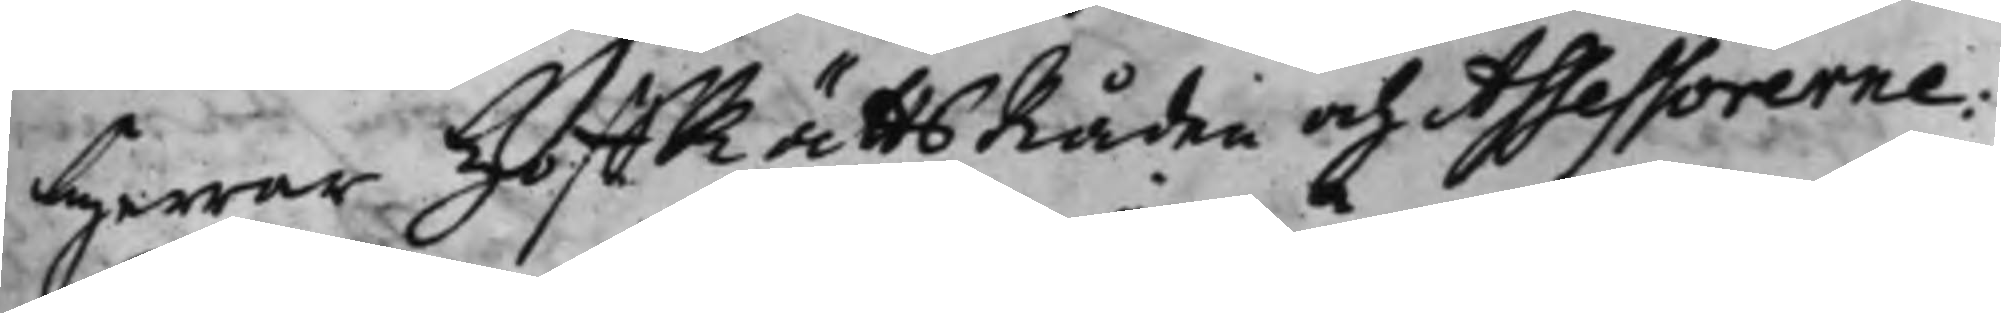Herrar HoffRättsRåden och Assessorerne:
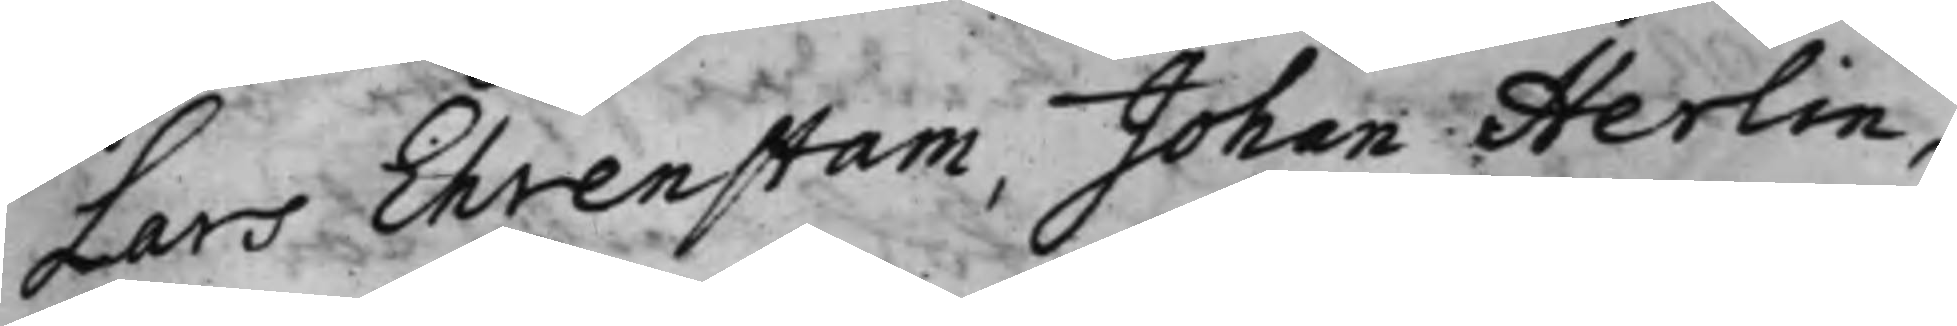Lars Ehrenstam, Johan Herlin,
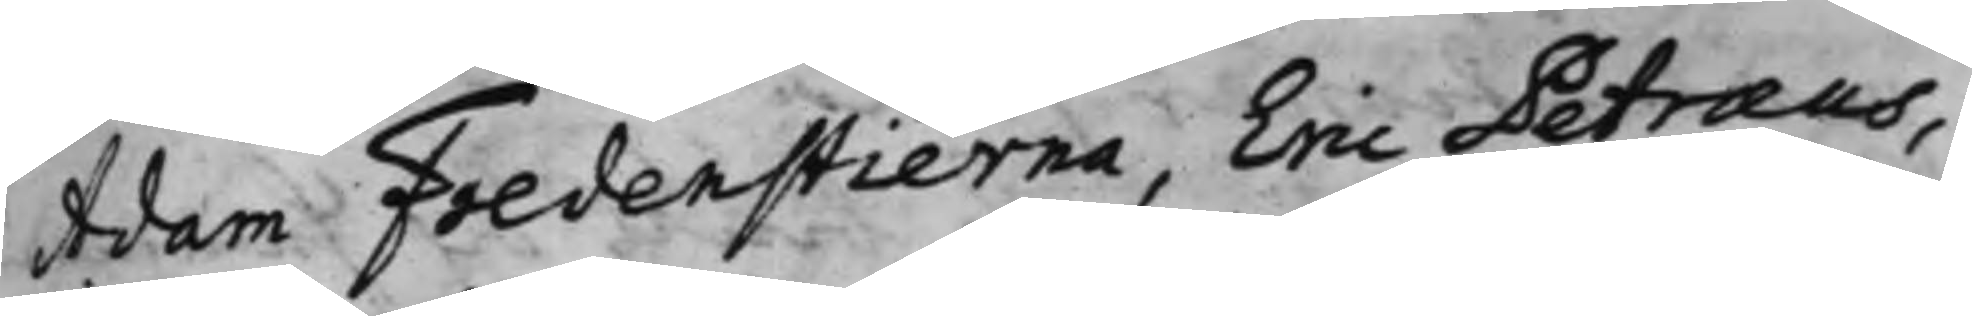Adam Fredenstierna, Eric Petræus,
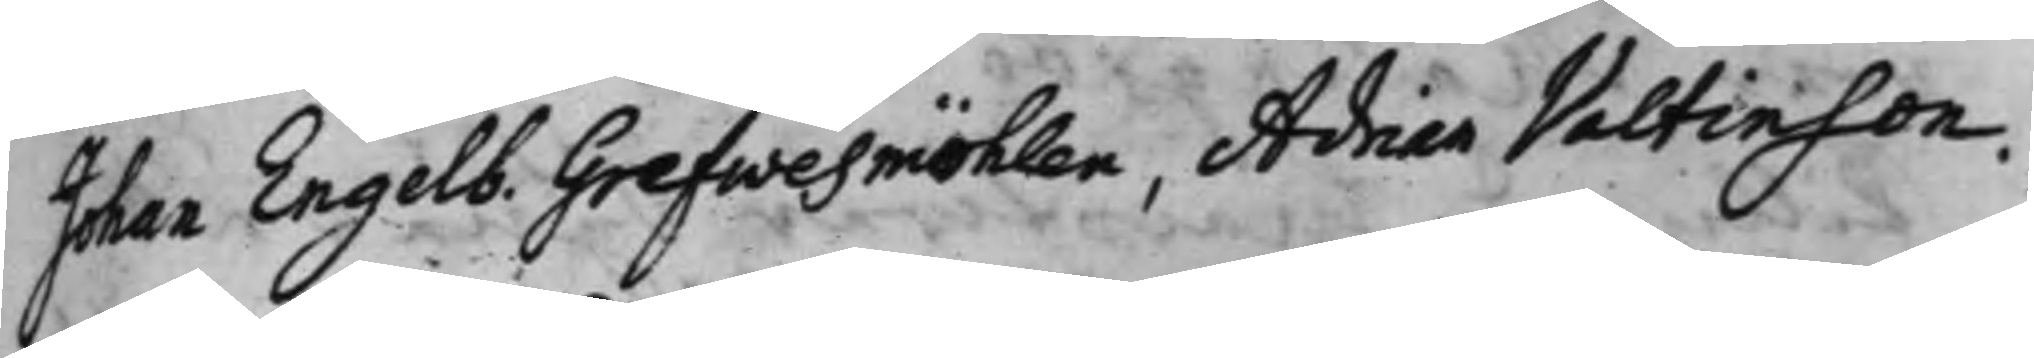Johan Engelb. Grefwesmöhlen, Adrian Valtinson. 
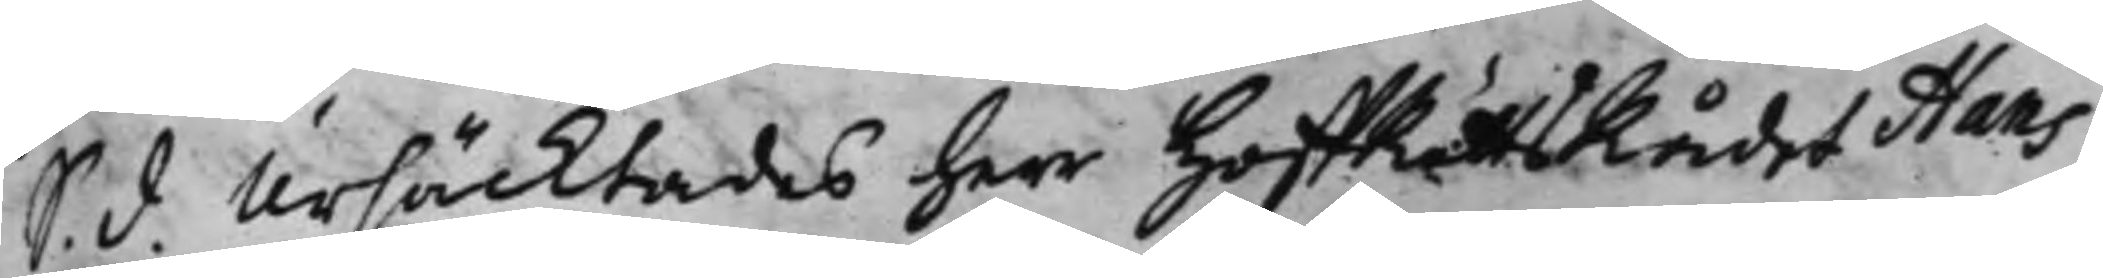S. d. Ursäcktades Herr HoffRättsRådet Hans
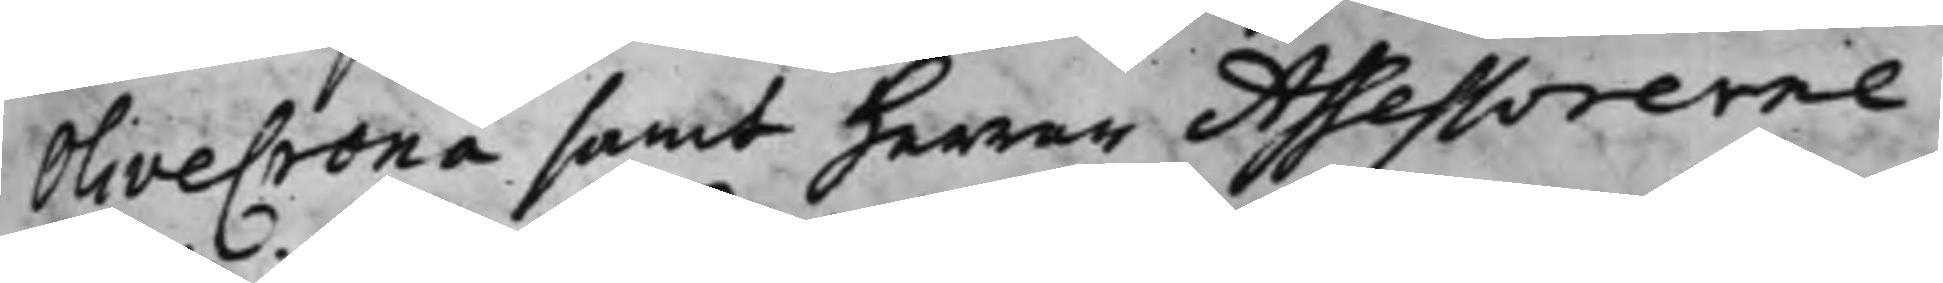Olivecrona samt Herrar Assessorerne
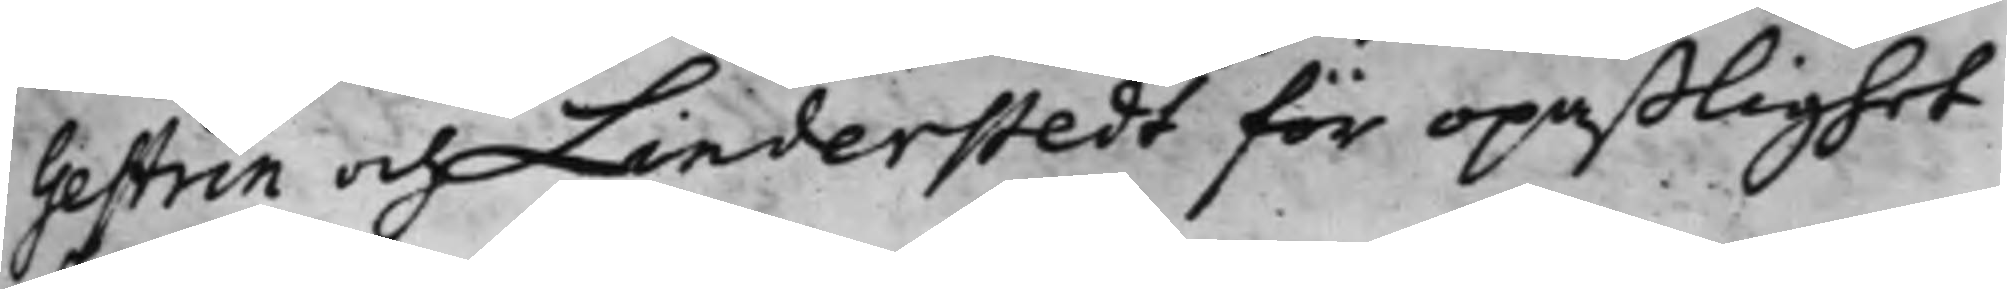Gestrin och Linderstedt för opaßlighet
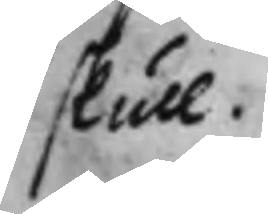skull.
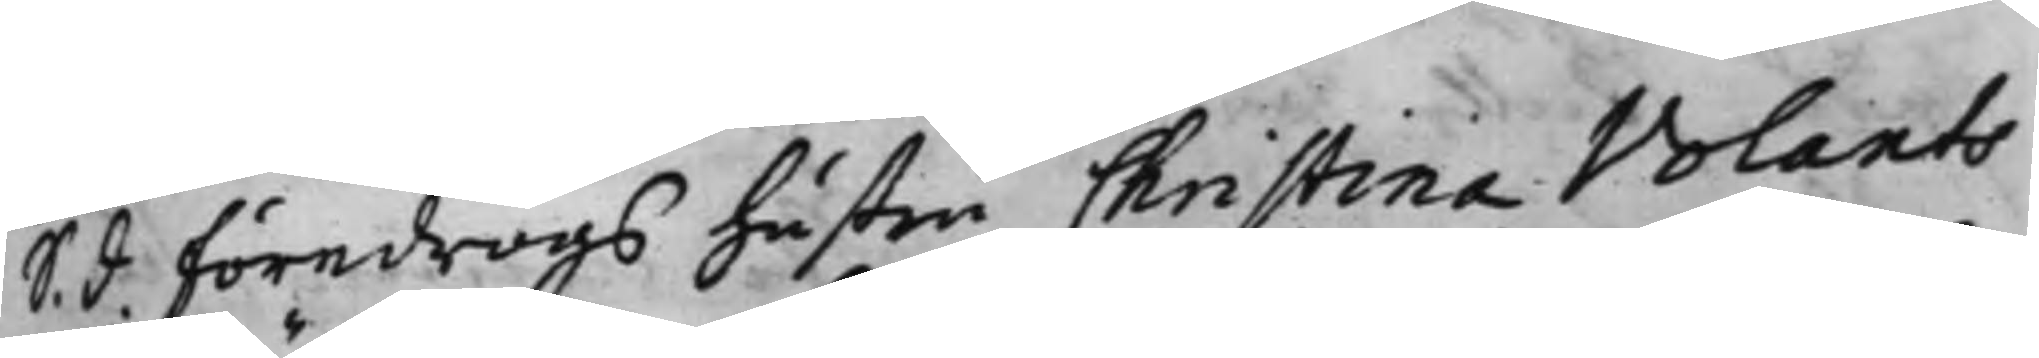S. d. Föredrogs hustru Christina Volants
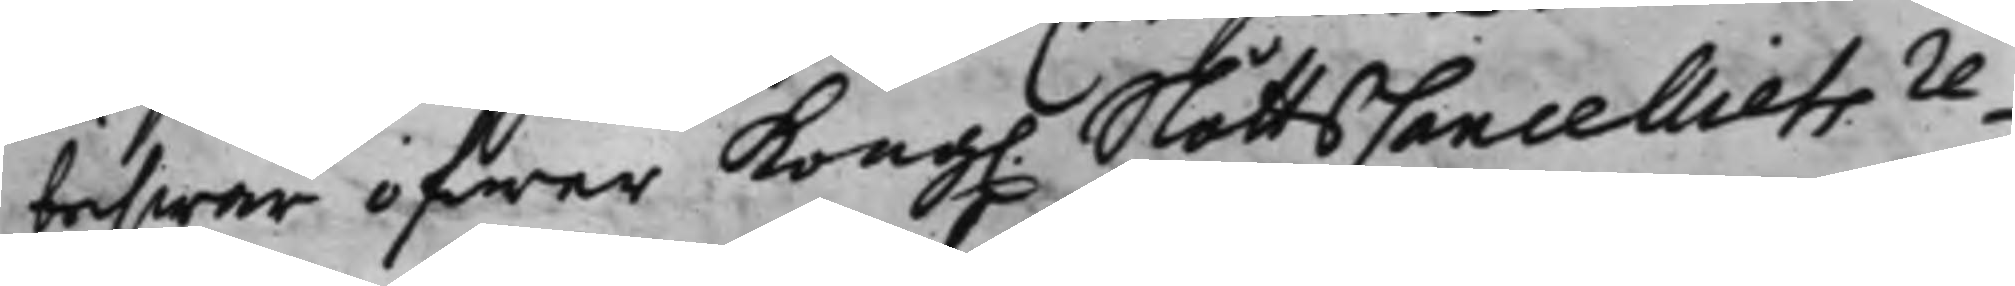beswär öfwer Kong. SlottsCancelliets re¬
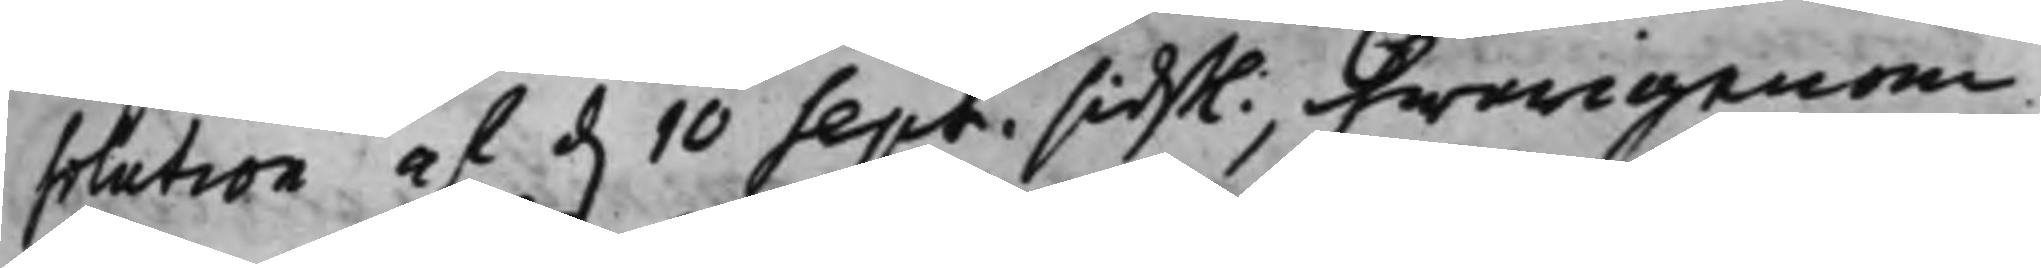solution af d. 10 Sept. sidst., hwarigenom
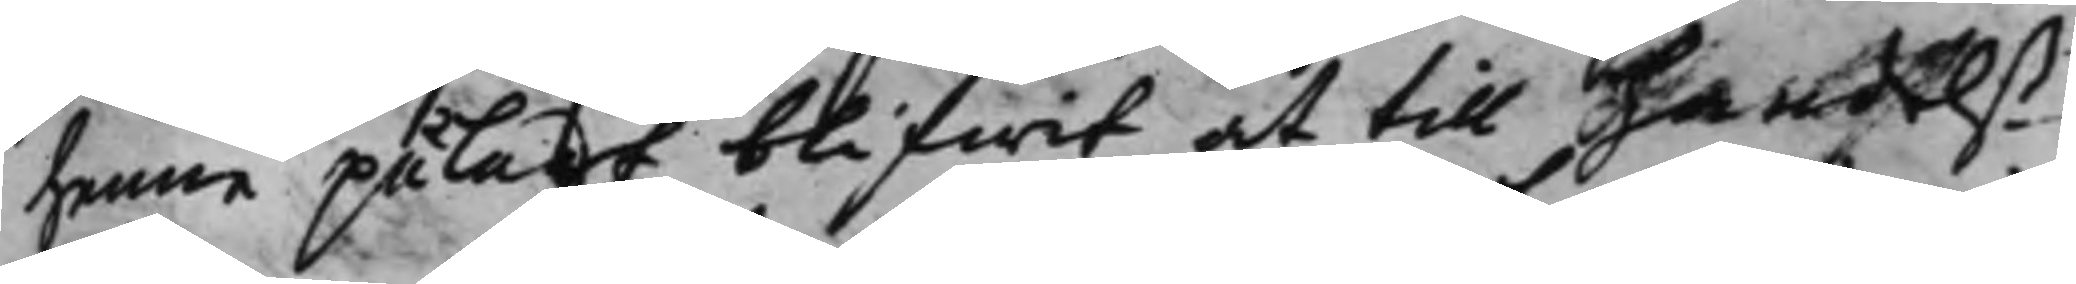henne pålagt blifwit at till handels¬
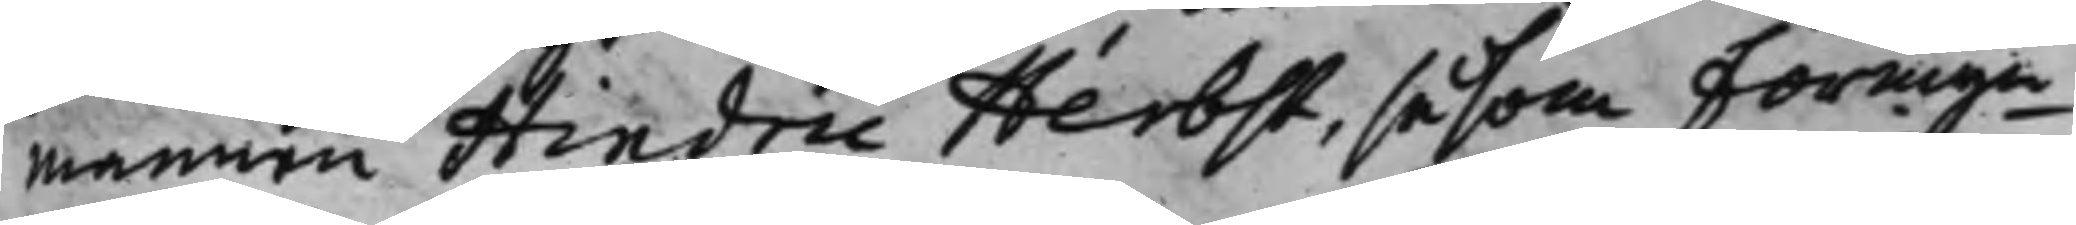mannen Hindric Herbst, såsom Förmyn¬
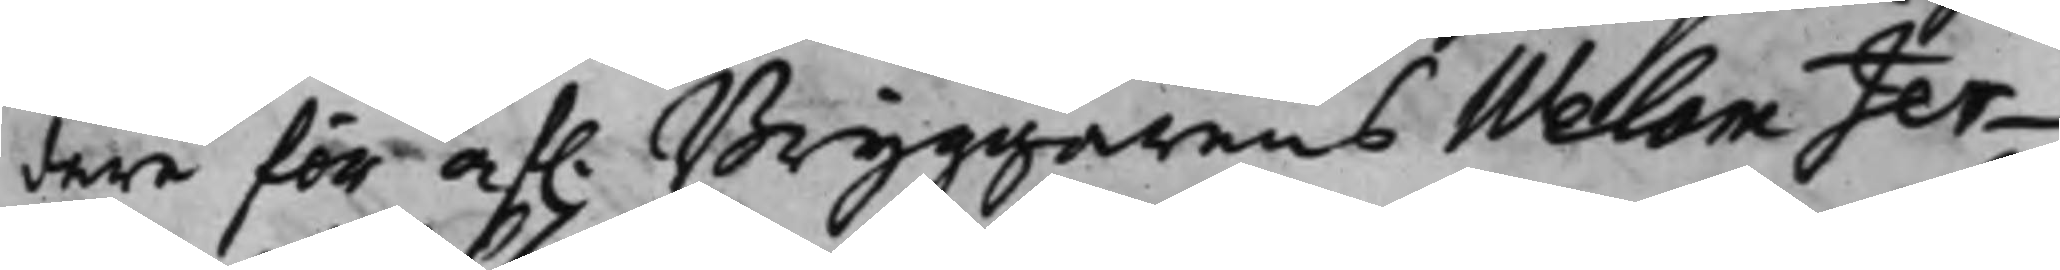dare för af. Bryggarens Welam Jer¬
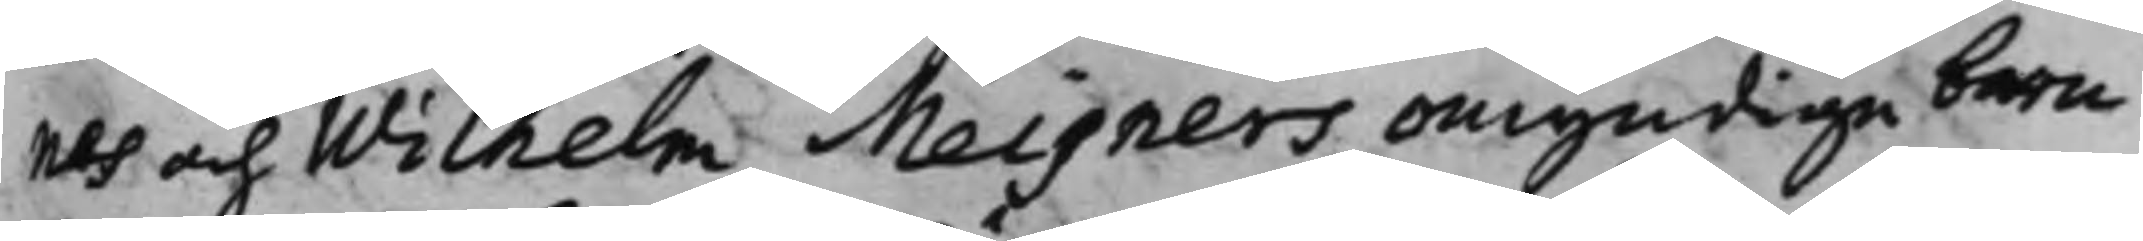nes och Wilhelm Meisners omyndige barn
